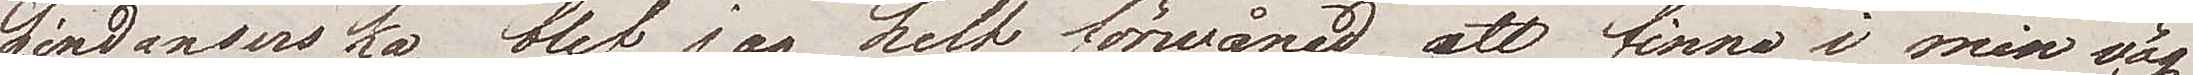Lindanserska, blef jag helt förvånad att finna i min väg
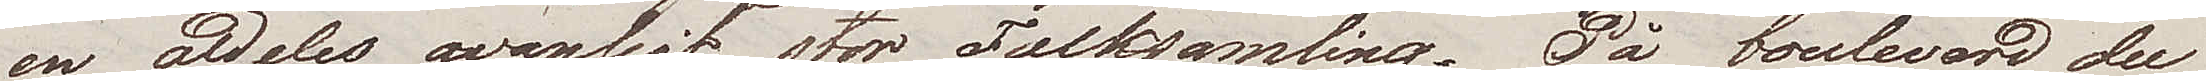en aldeles ovanligt stor Folksamling. På boulevard du
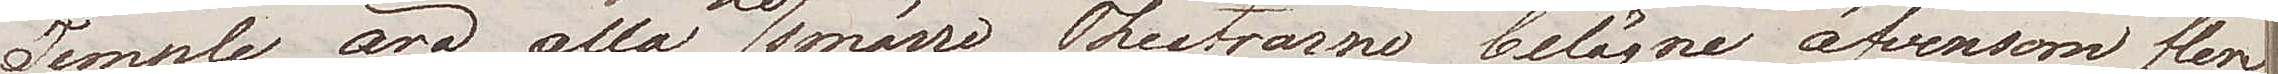Temple äro alla de smärre Theatrarne belägna äfvensom flere
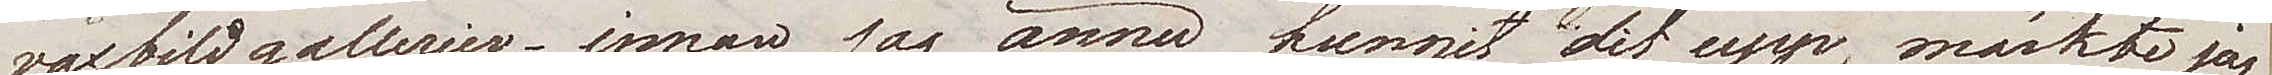vaxbildgallerier; innan jag ännu hunnit dit upp, märkte jag
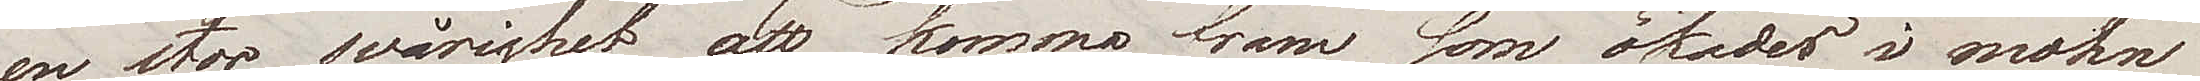en stor svårighet att komma fram som ökades i mohn
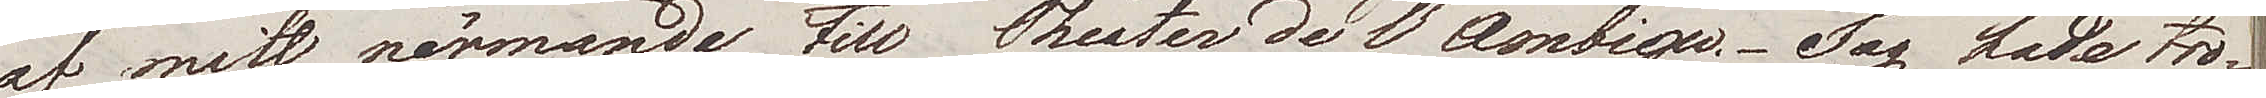af mitt närmande till Theater de l'Ambigu. Jag hade tro¬
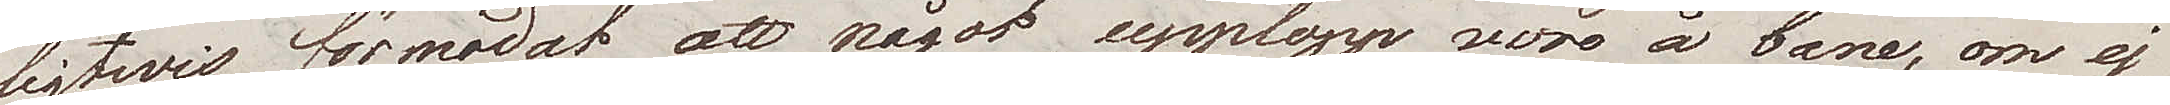ligtwis förmodat att något upplopp wore å bane, om ej
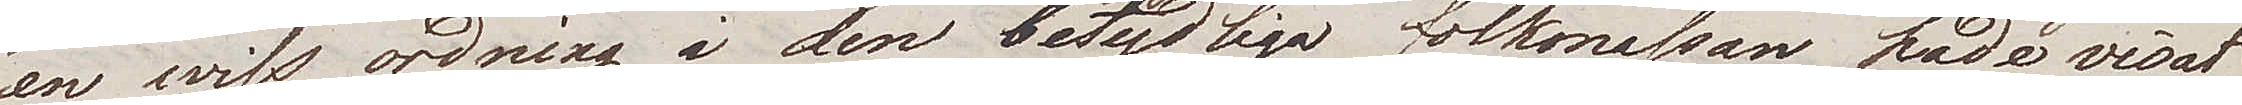en wiss ordning i den betydliga folkmassan hade visat
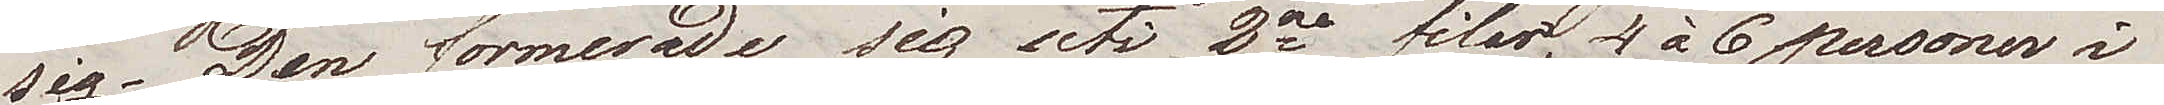sig. Den formerade sig uti 2ne filer, 4 à 6 personer i
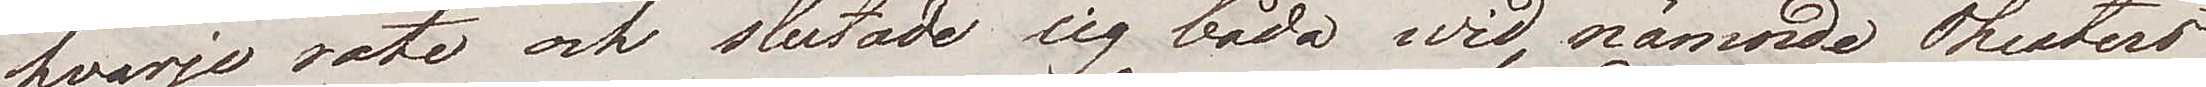hvarje rote och slutade sig båda wid nämnda Theaters
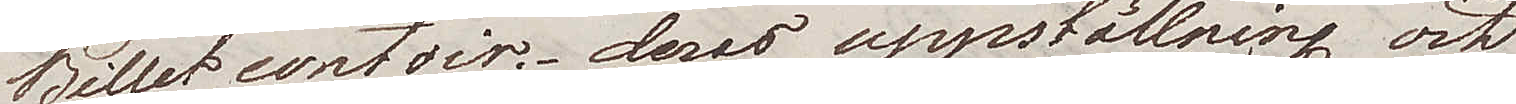Billet contoir; deras uppställning och
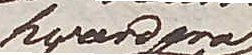hvardera
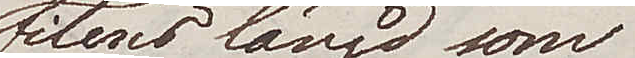filens längd som
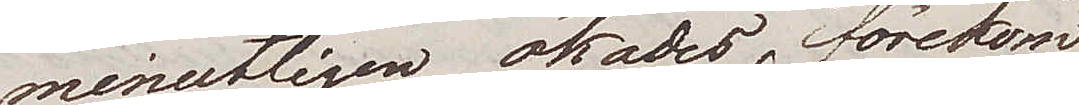minutligen ökades, förekom
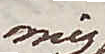mig
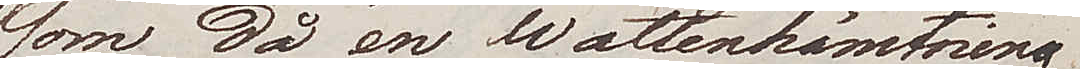som då en wattenhämtning
